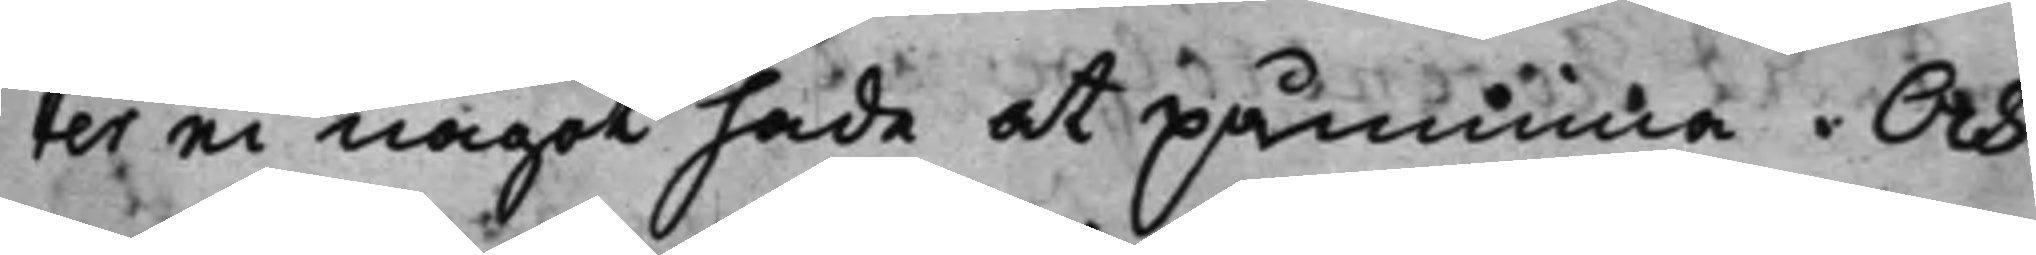ter ei något hade at påminna. Och
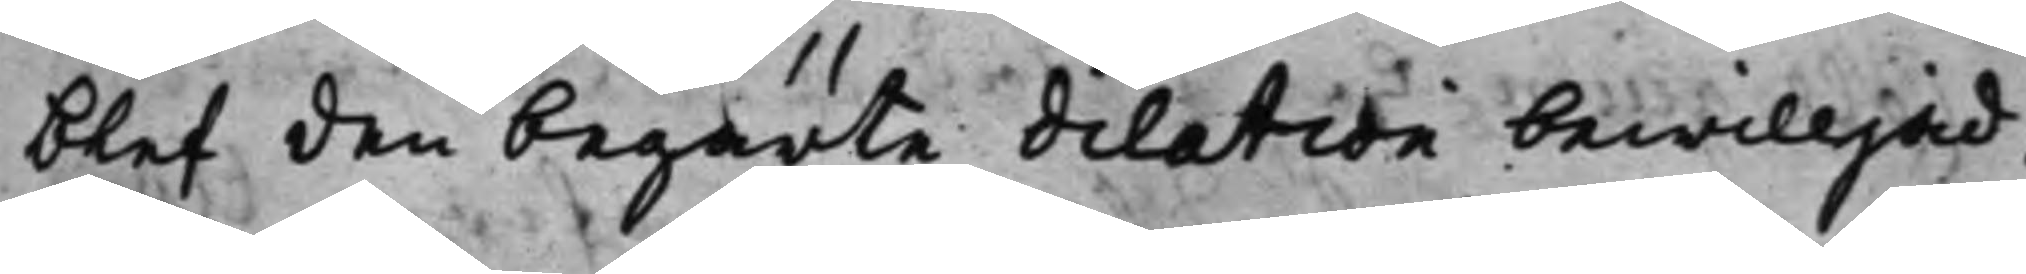blef den begärte dilation bewilljad.
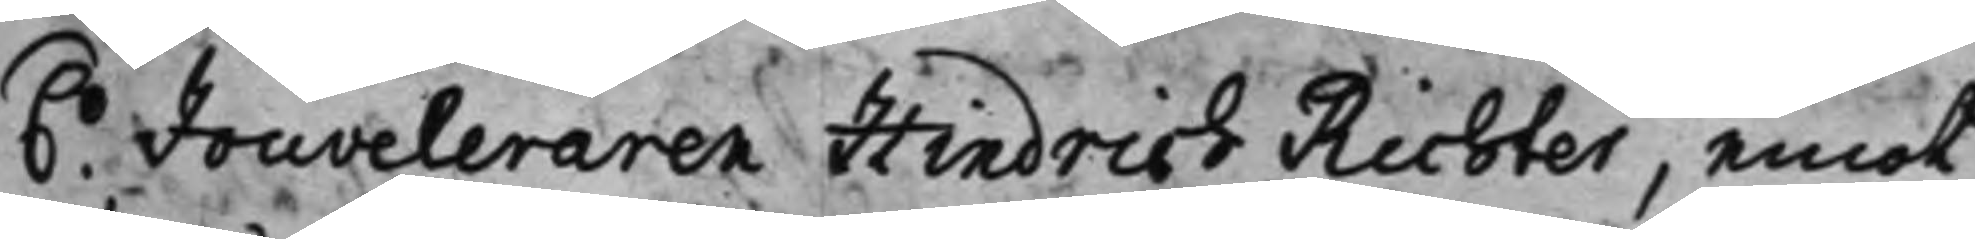6.o Jouveleraren Hindrich Richter, emot
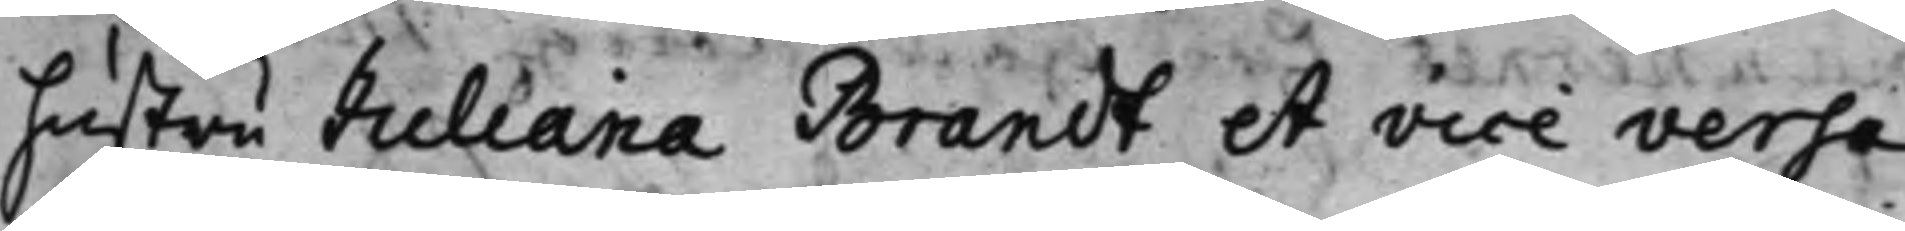hustru Juliana Brandt et vice versa
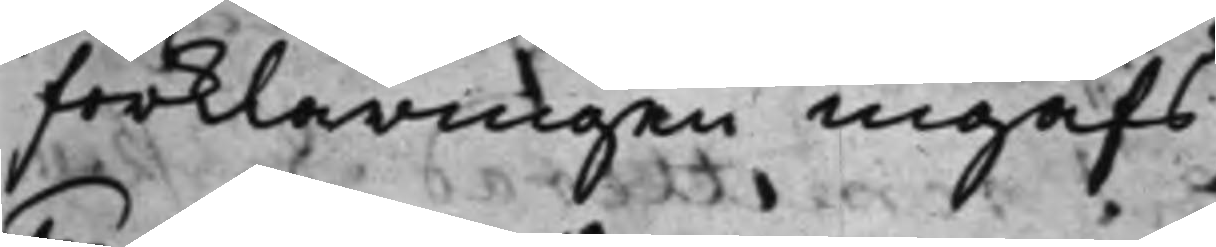Förklaringen ingafs
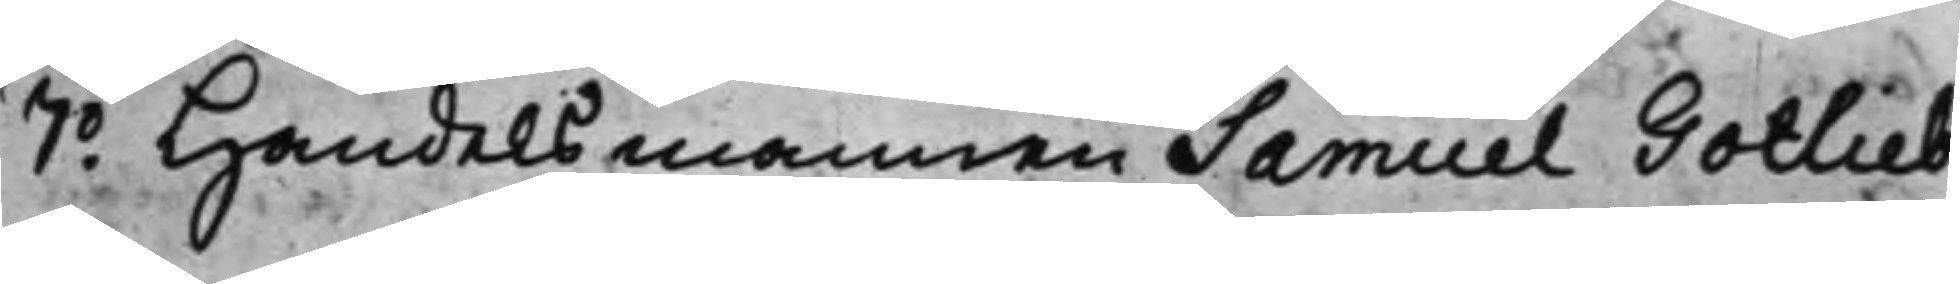7.o Handelsmannen Samuel Gotlieb
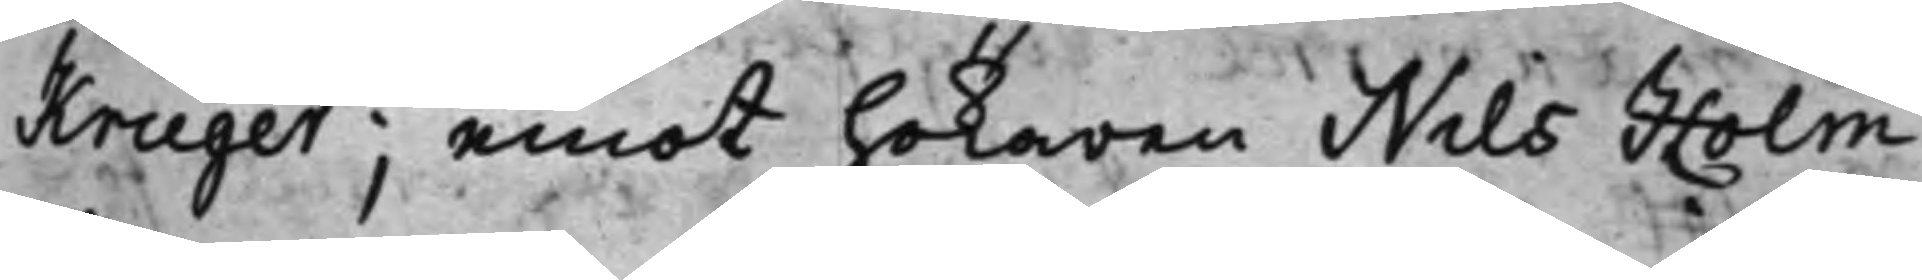Kruger; emot Hökaren Nills Holm
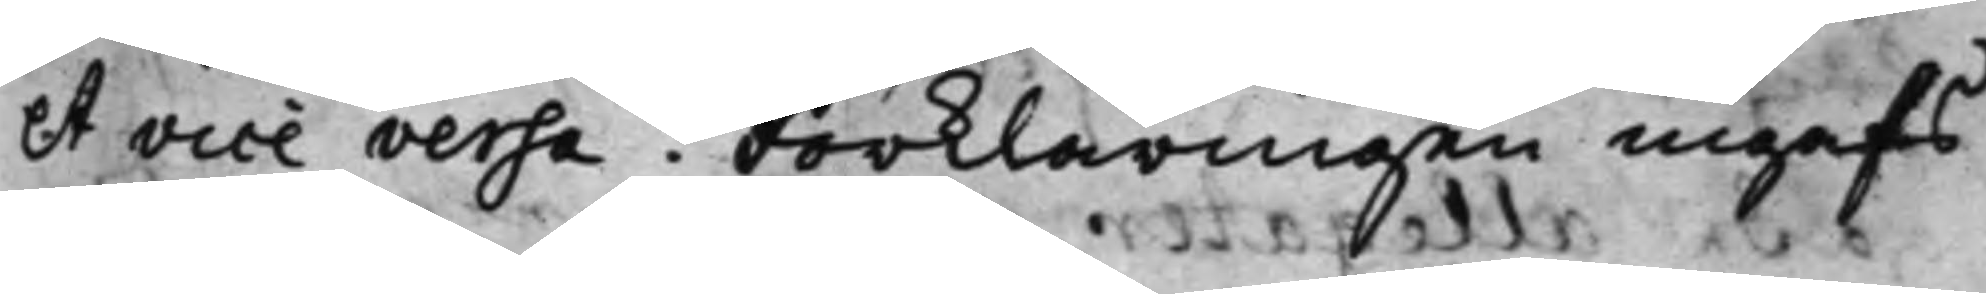et vice versa. Förklaringen ingafs.
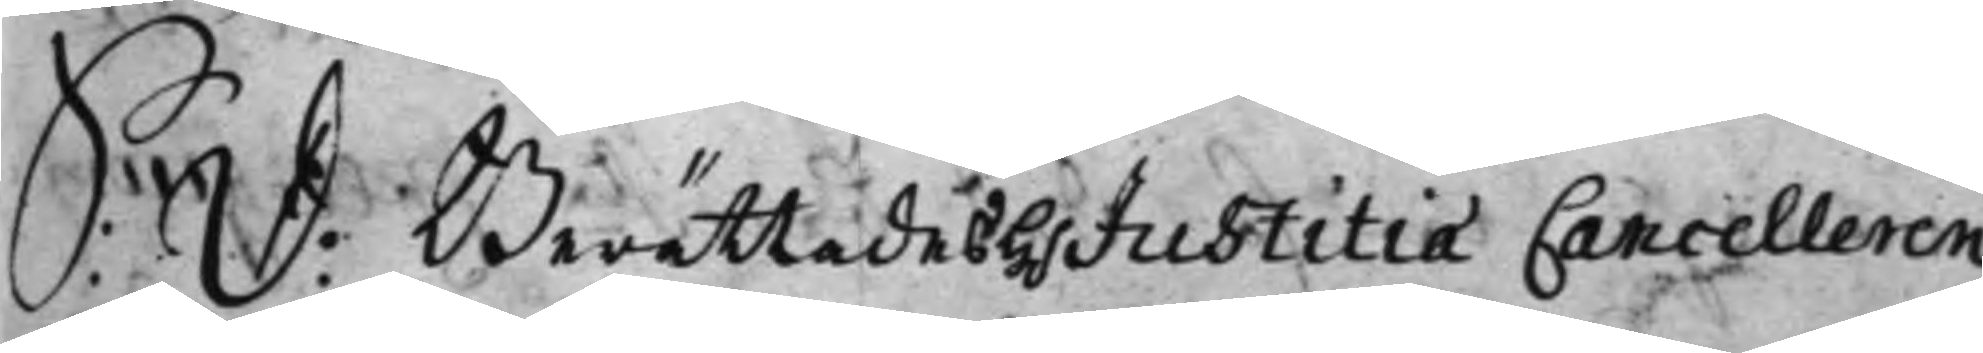S: D: Berättades h.r  Justitiæ Cancelleren
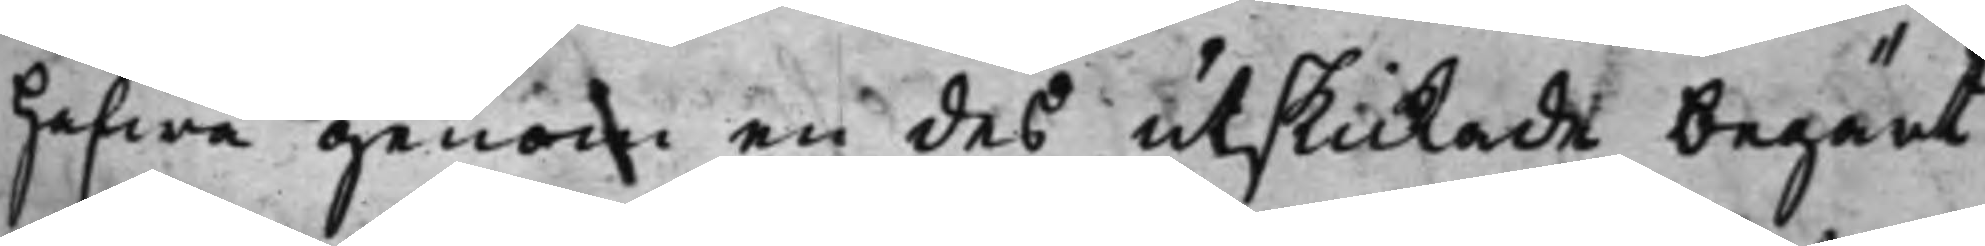hafwa genom en des utskickade begärt
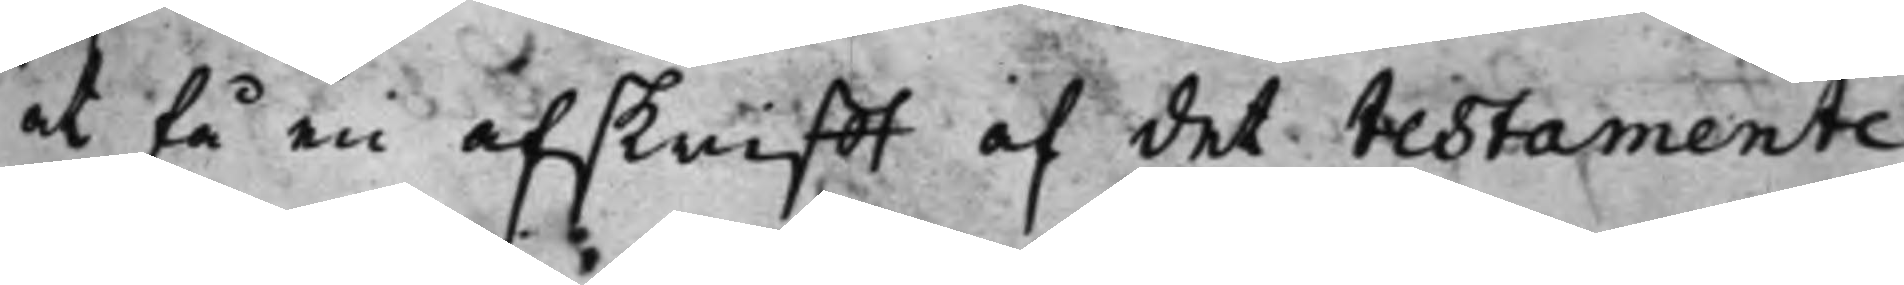at få en afskrifft af det testamente
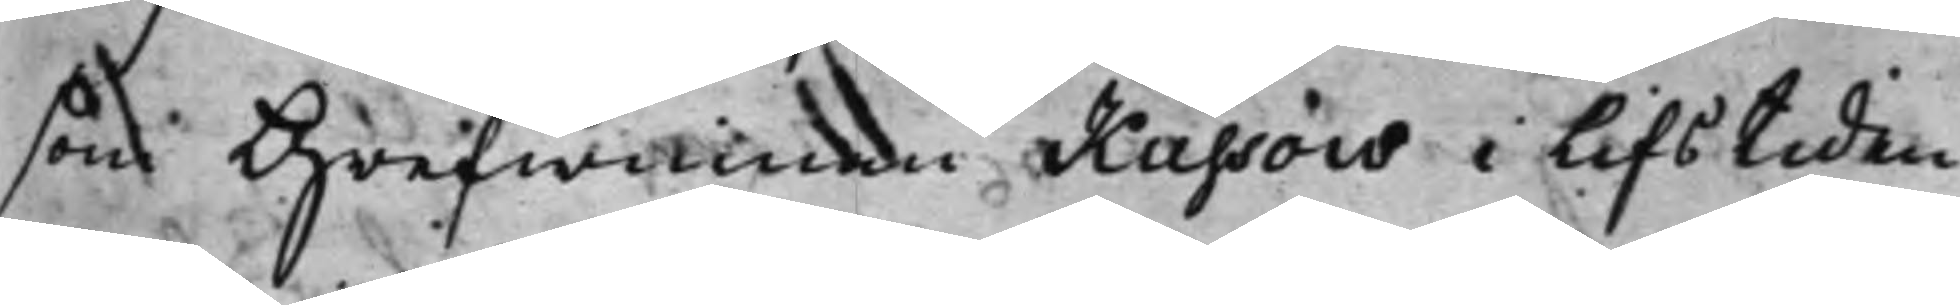som Grefwinnan Kussou i lifstiden
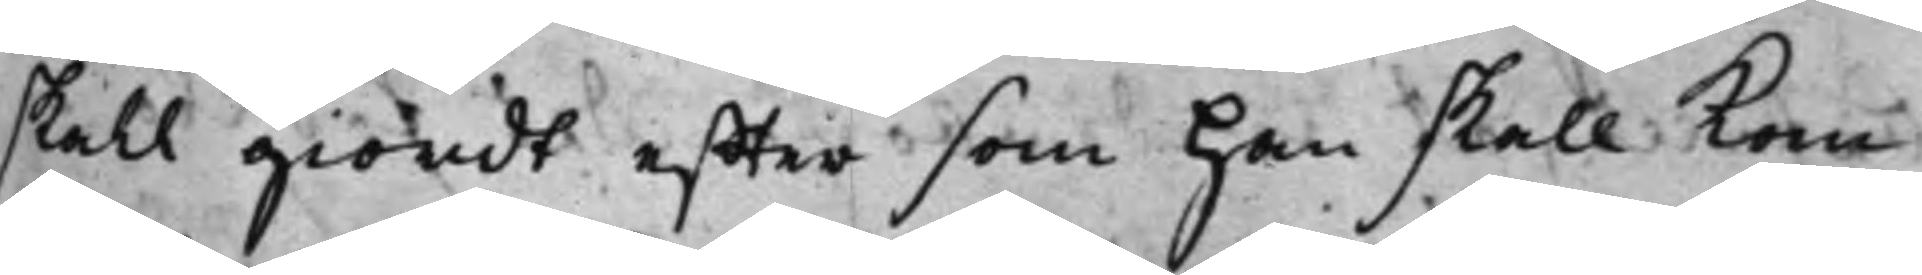skall giordt effter som han skall kom¬
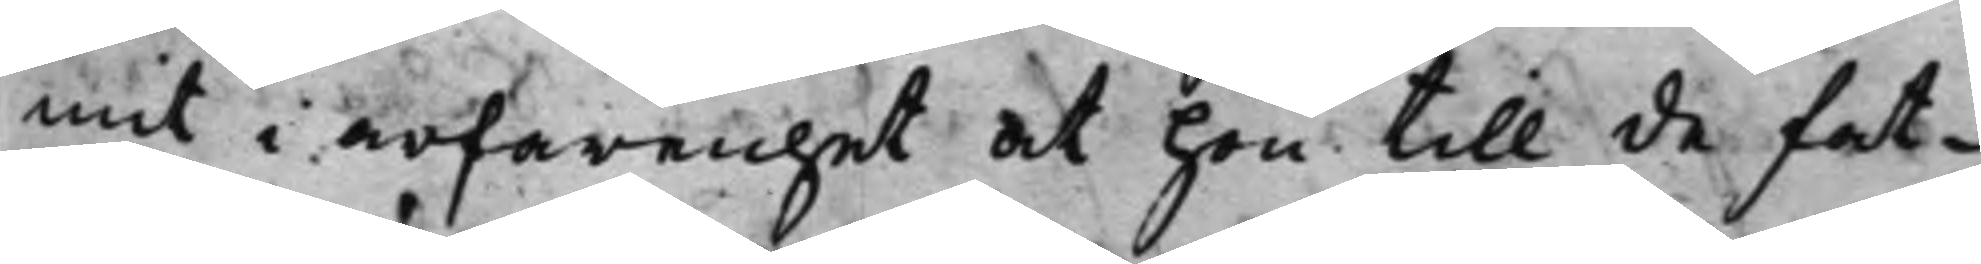mit i erfarenhet at hon till de fat¬
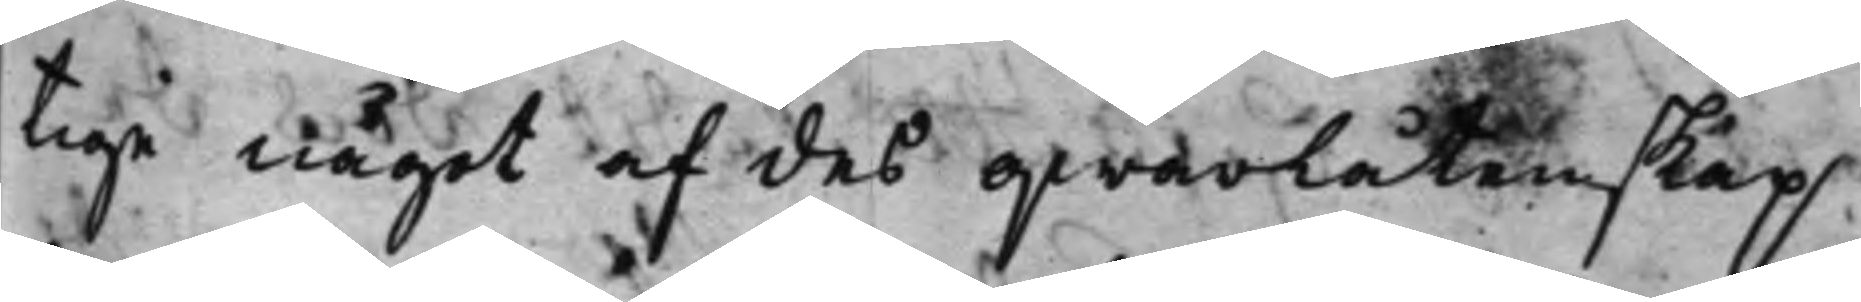tiga något af des qwarlåtenskap
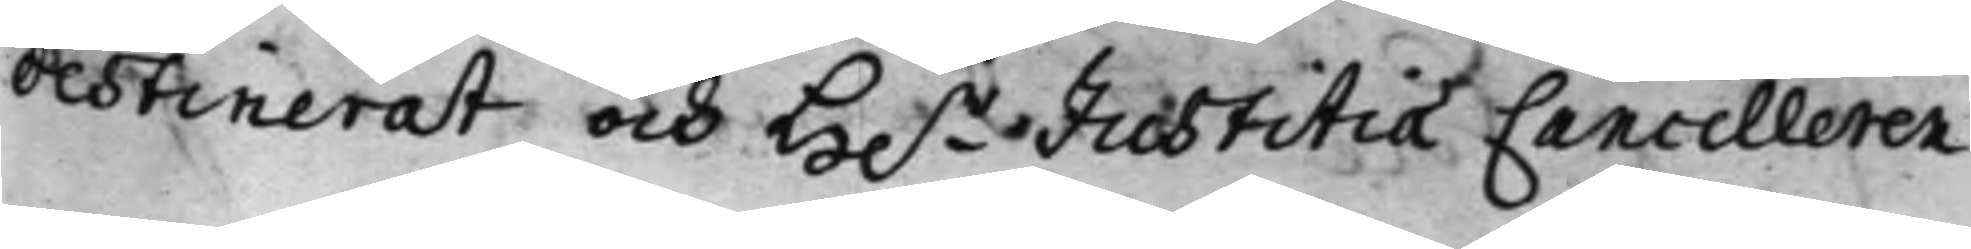destinerat och H.r Justitiæ Cancelleren
